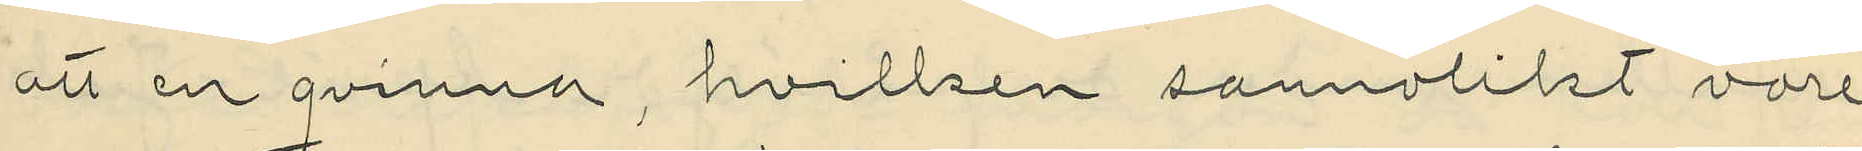att en qvinna, hvilken sannolikt vore
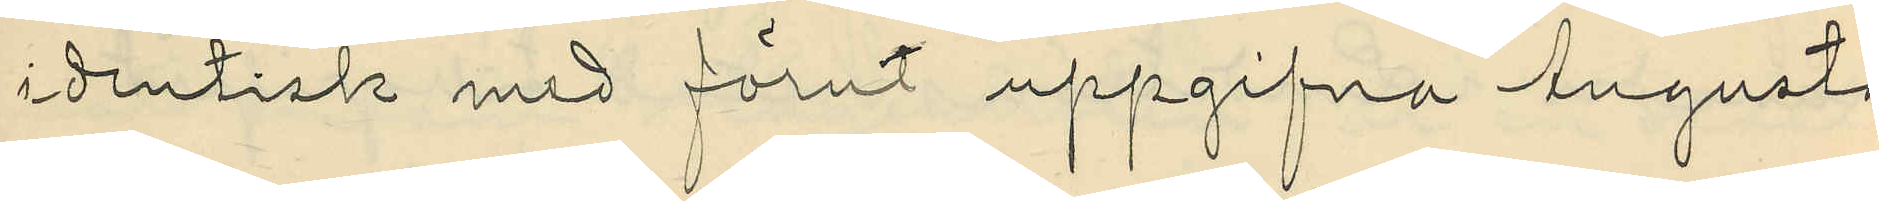identisk med förut uppgifna Augusta
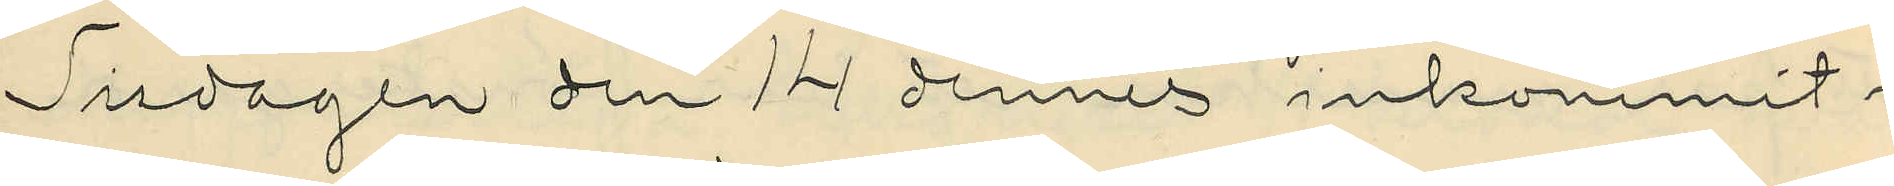Tisdagen den 14 dennes inkommit i
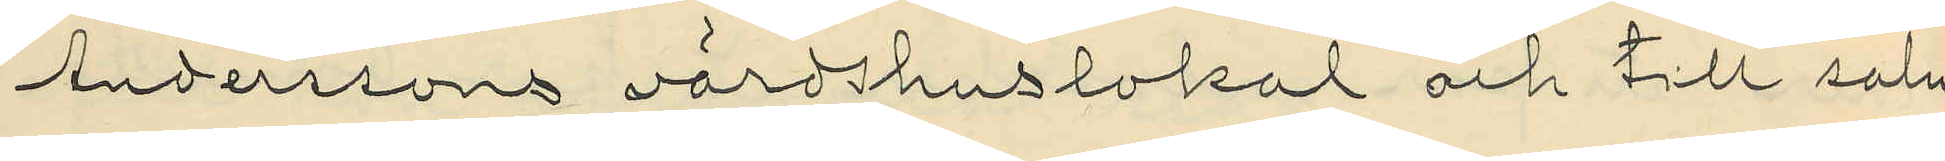Anderssons värdshuslokal och till salu
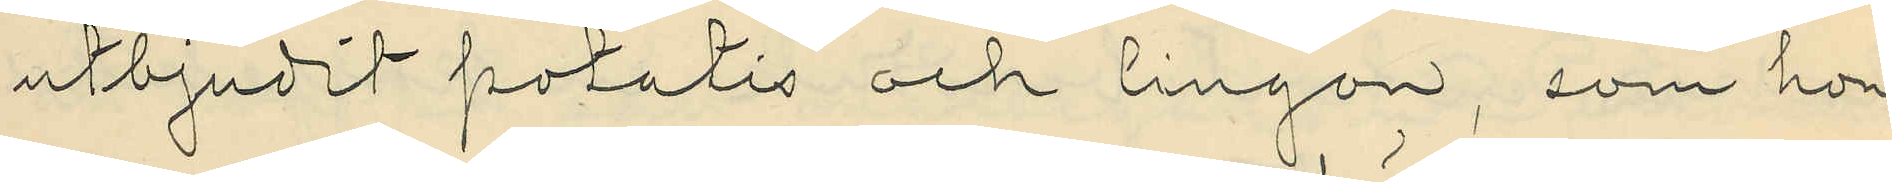utbjudit potatis och lingon, som hon
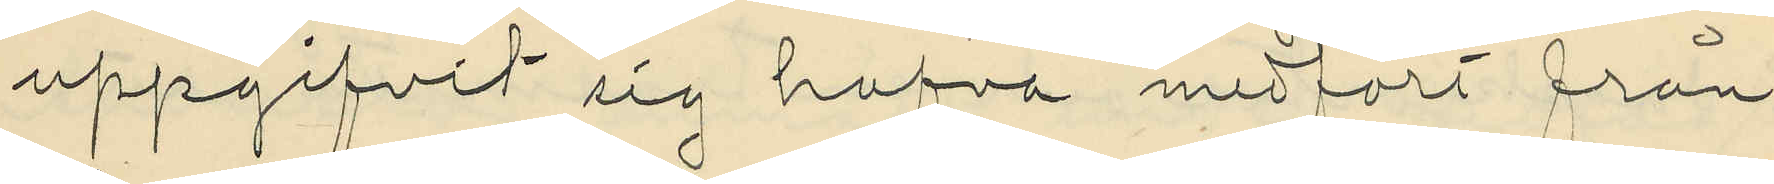uppgifvit sig hafva medfört från
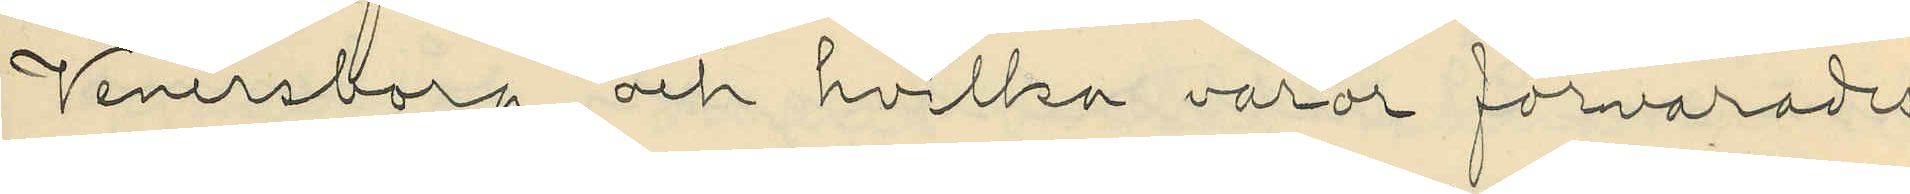Venersborg och hvilka varor förvarades
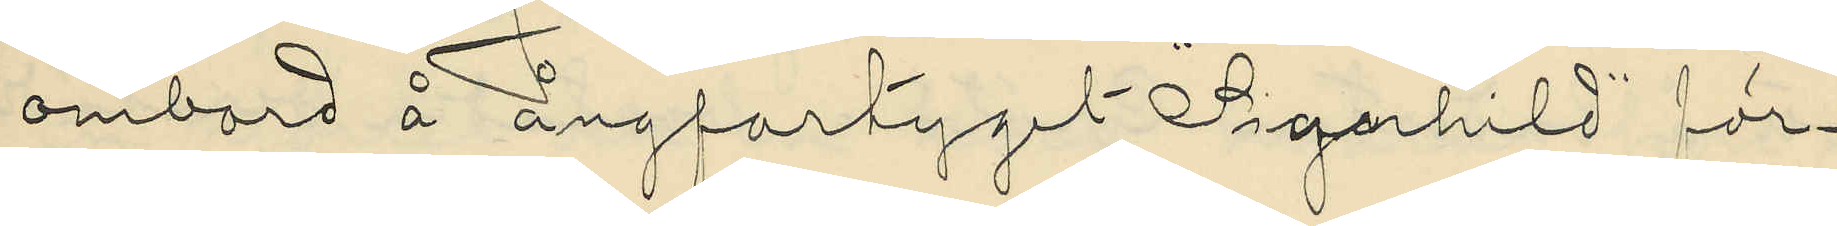ombord å ångfartyget "Signhild" för¬
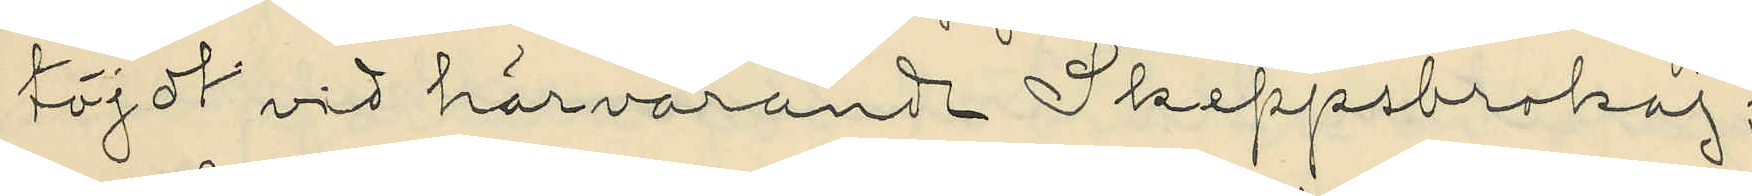töjdt vid härvarande Skeppsbrokaj;
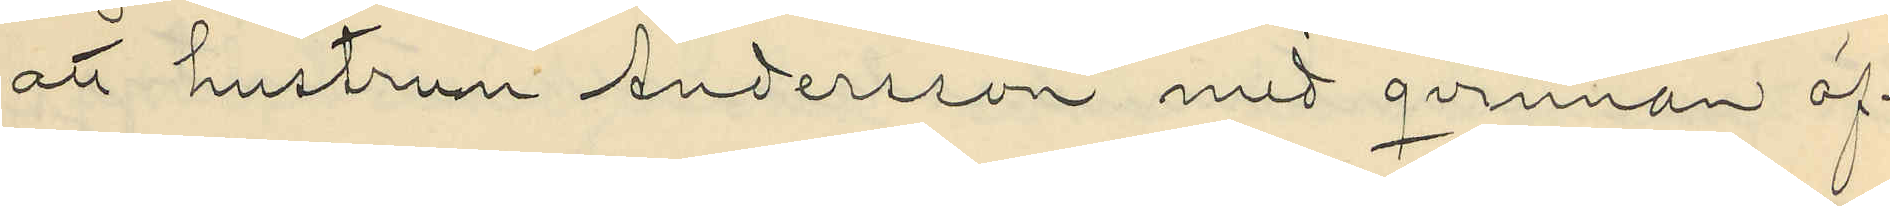att hustrun Andersson med qvinnan öf¬
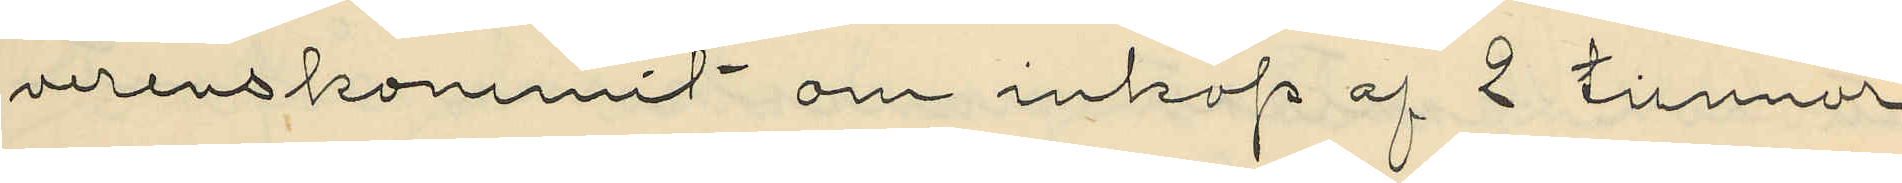verenskommit om inköp af 2 tunnor
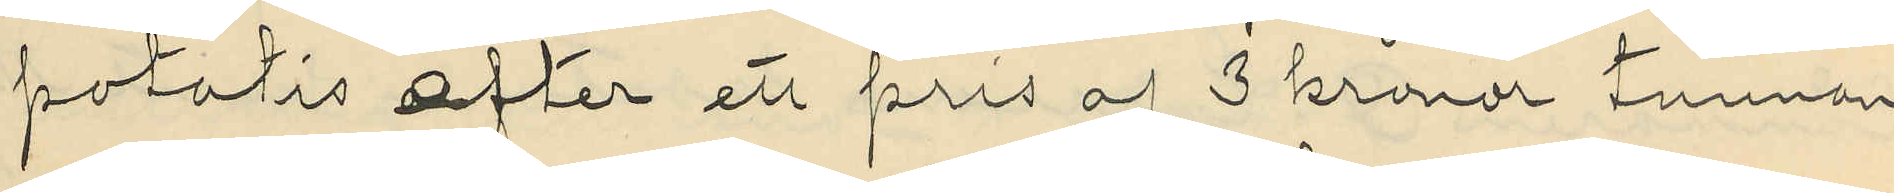potatis efter ett pris af 3 kronor tunnan
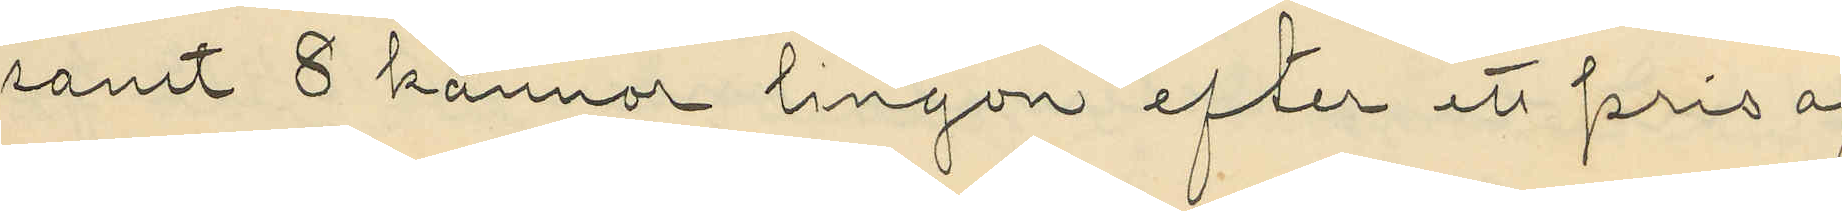samt 8 kannor lingon efter ett pris af
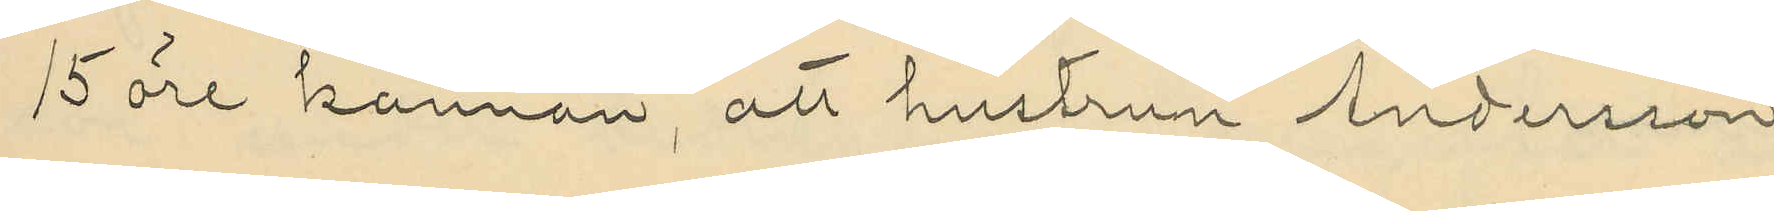15 öre kannan, att hustrun Andersson
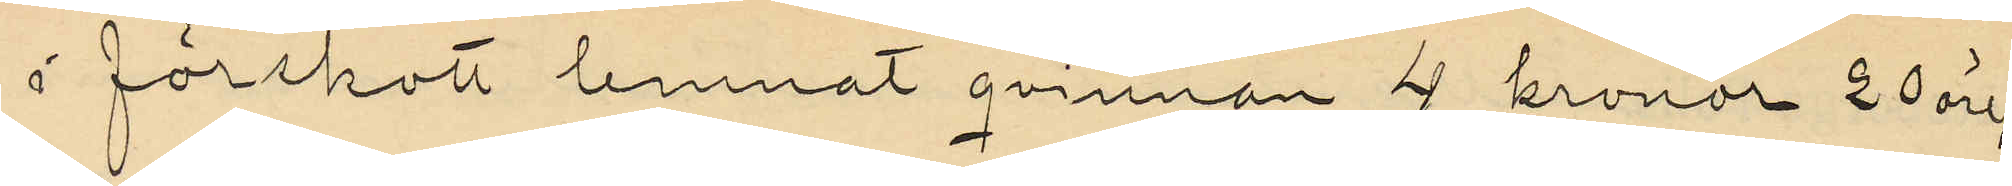i förskott lemnat qvinnan 4 kronor 20 öre;
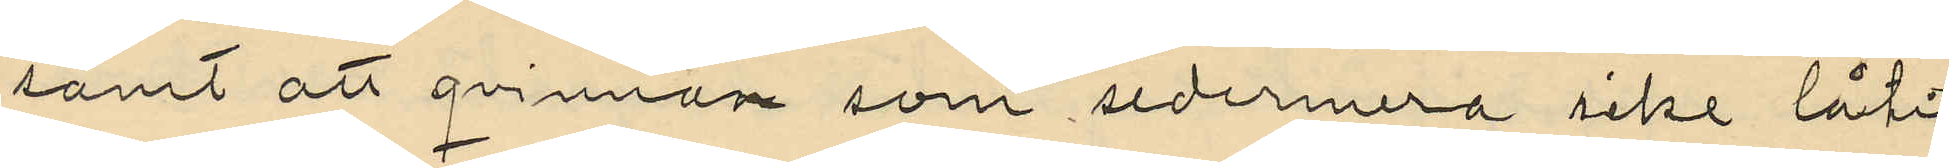samt att qvinnan som sedermera icke låtit
